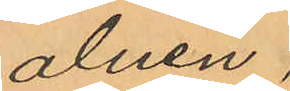alnen,
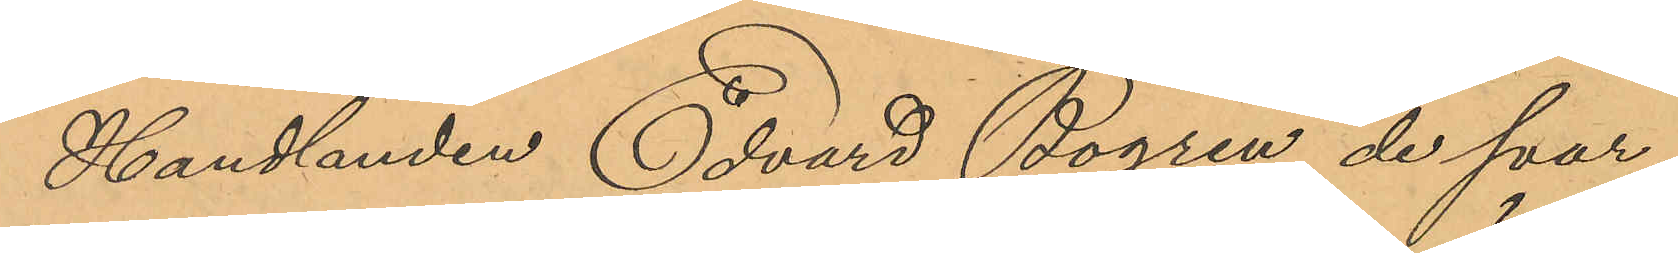Handlanden Edvard Bogren de svar¬
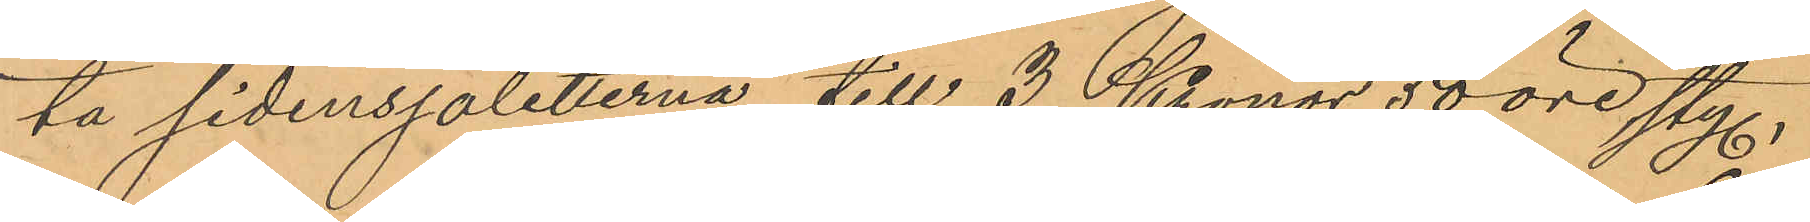ta sidensjaletterna till 3 Kronor 50 öre styck,
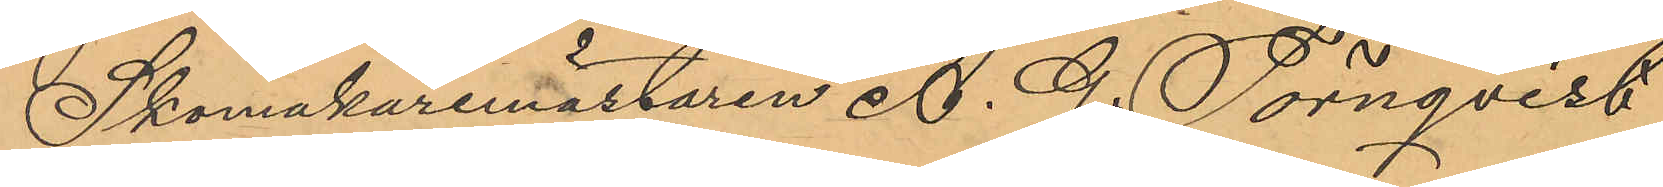Skomakaremästaren A. G. Törnqvist
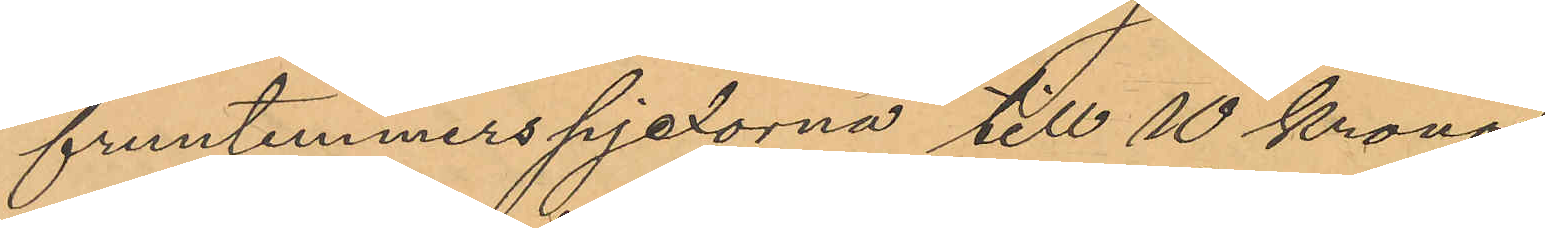fruntimmerspjexorna till 10 Kronor,
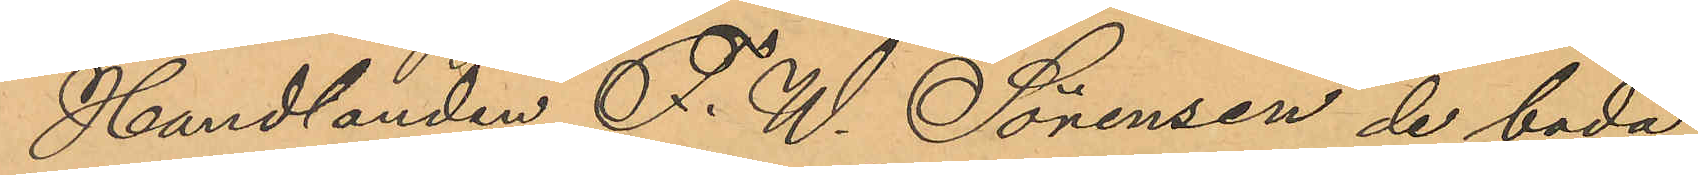Handlanden F. W. Sörensen de båda
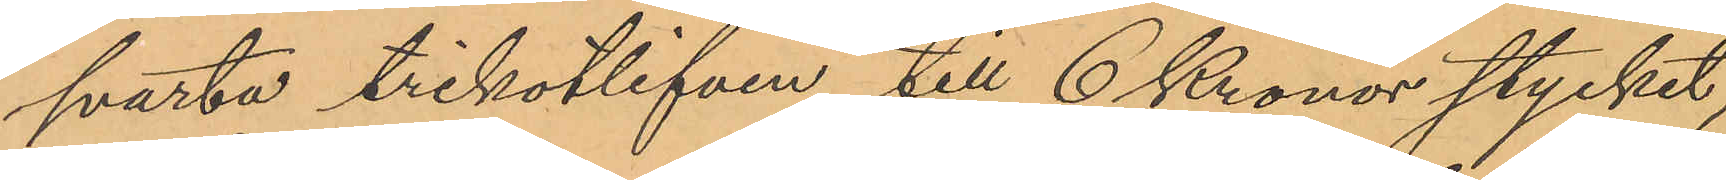svarta trikotlifven till 6 Kronor stycket,
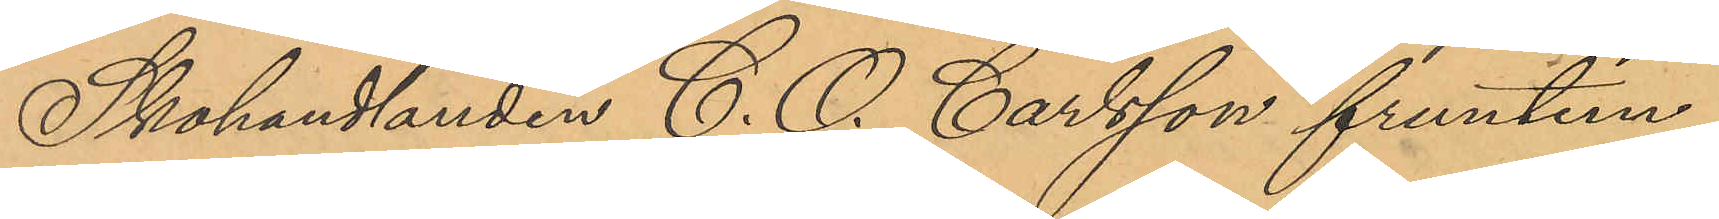Skohandlanden C. O. Carlsson fruntim¬
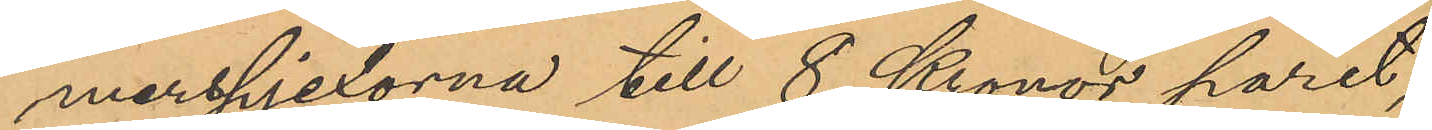merspjexorna till 8 Kronor paret;
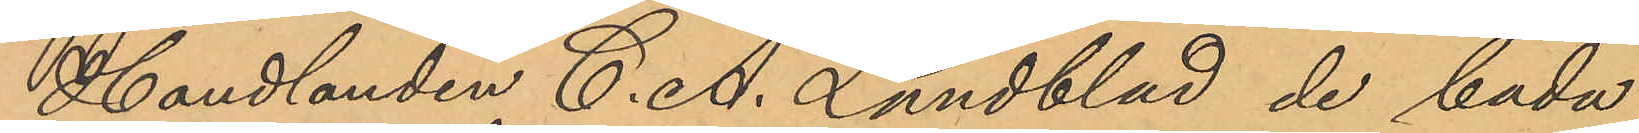Handlanden C. A. Lundblad de båda
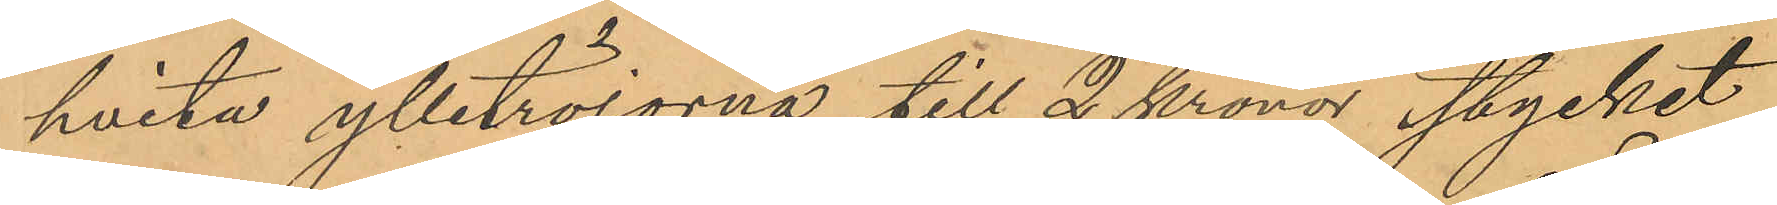hvita ylletröjorna till 2 Kronor stycket,
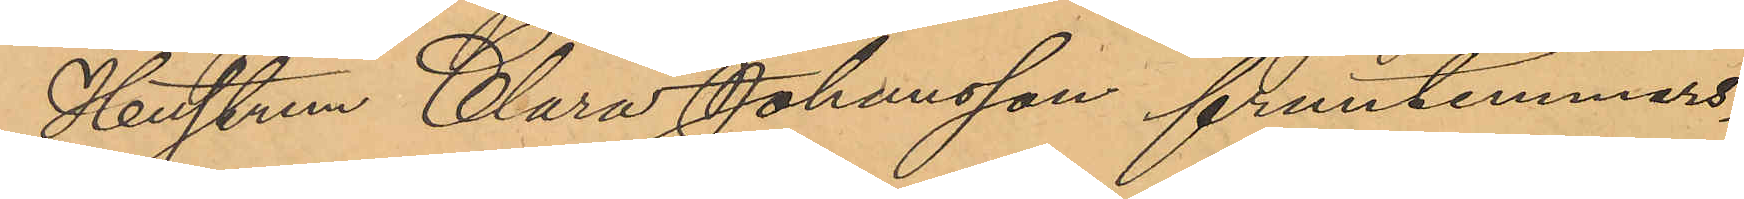Hustrun Clara Johansson fruntimmers¬
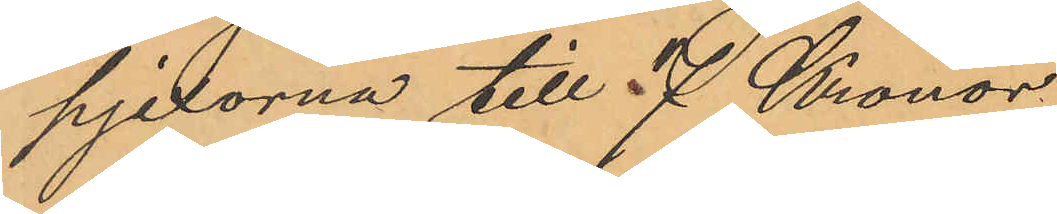pjexorna till 7 Kronor,
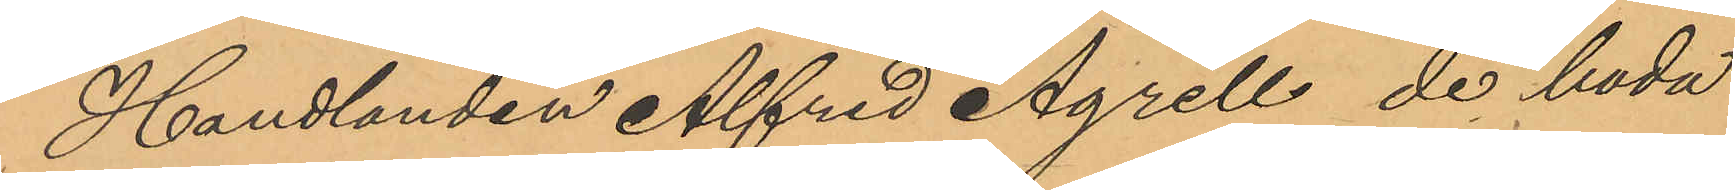Handlanden Alfred Agrell de båda
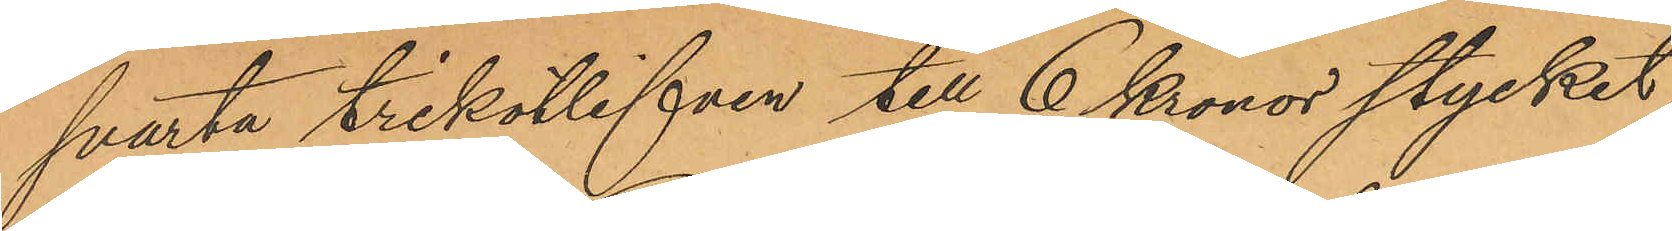svarta trikotlifven till 6 Kronor stycket,
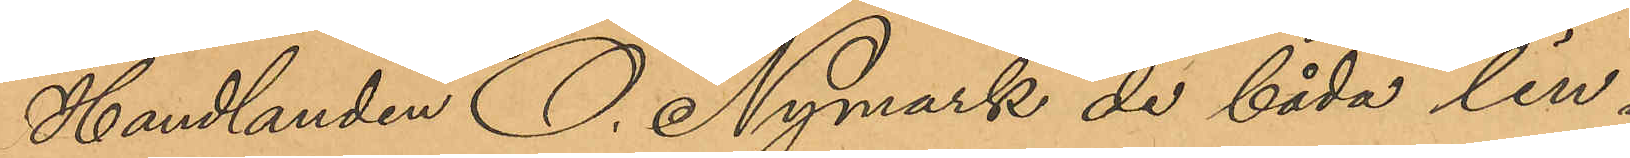Handlanden O. Nymark de båda lin¬
